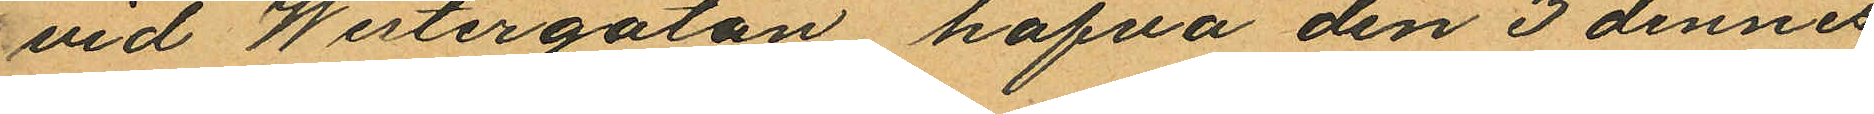vid Westergatan hafva den 3 dennes
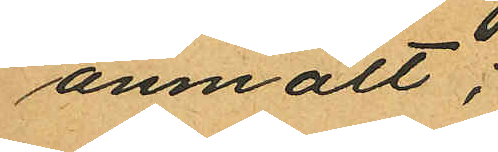anmält:
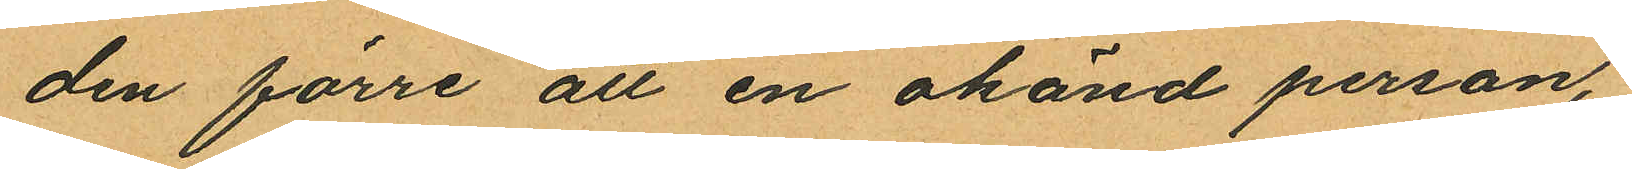den förre att en okänd person,
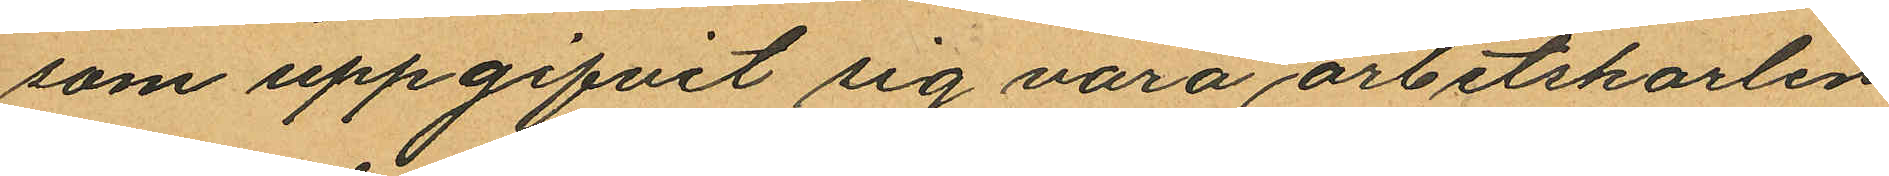som uppgifvit sig vara arbetskarlen
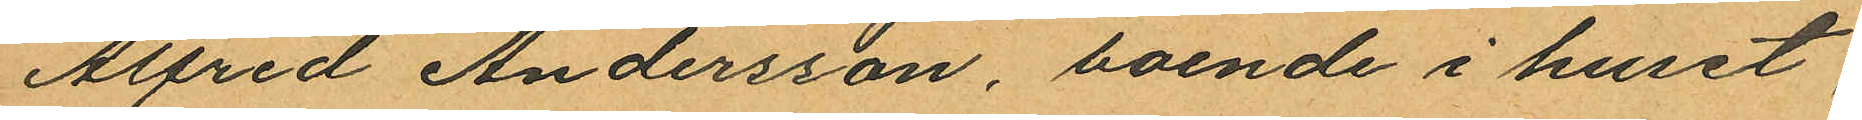Alfred Andersson, boende i huset
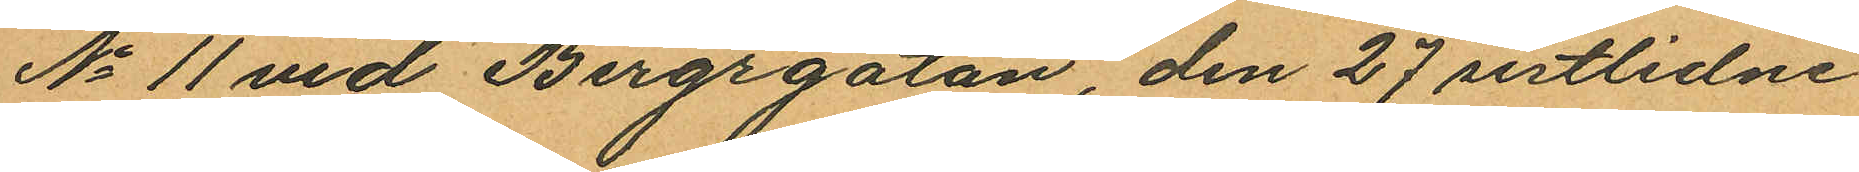No 11 vid Bergrgatan, den 27 sistlidne
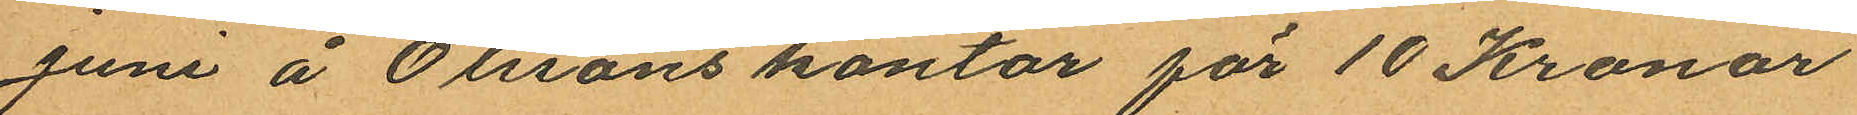Juni å Olssons kontor för 10 Kronor
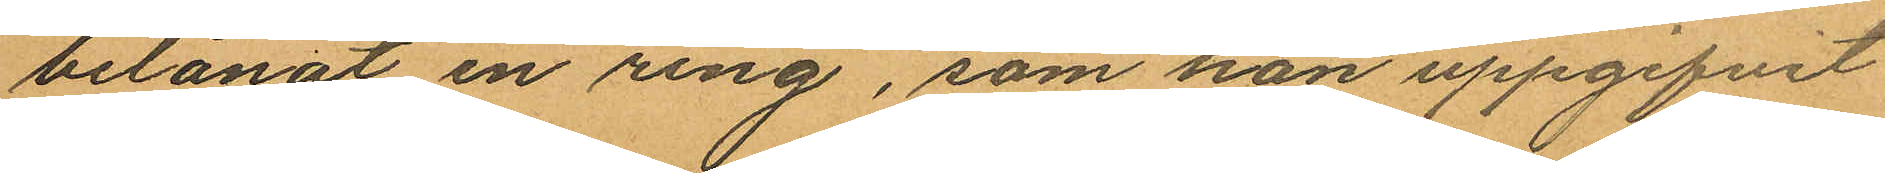belånat en ring, som han uppgifvit
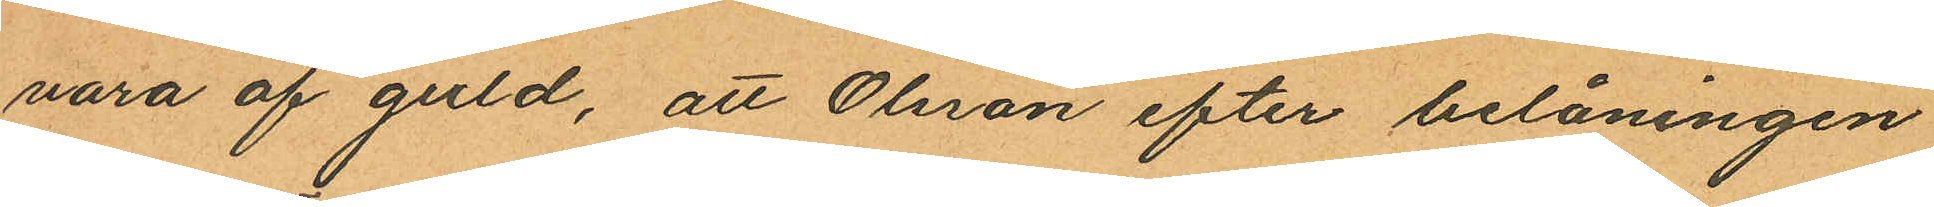vara af guld, att Olsson efter belåningen
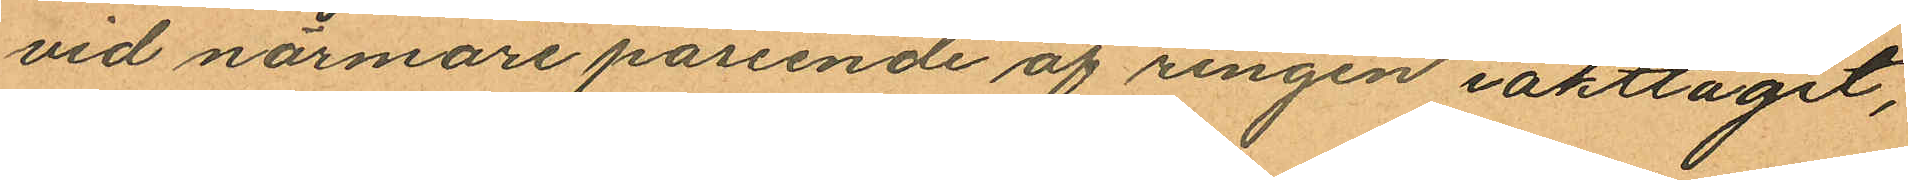vid närmare påseende af ringen iakttaget,
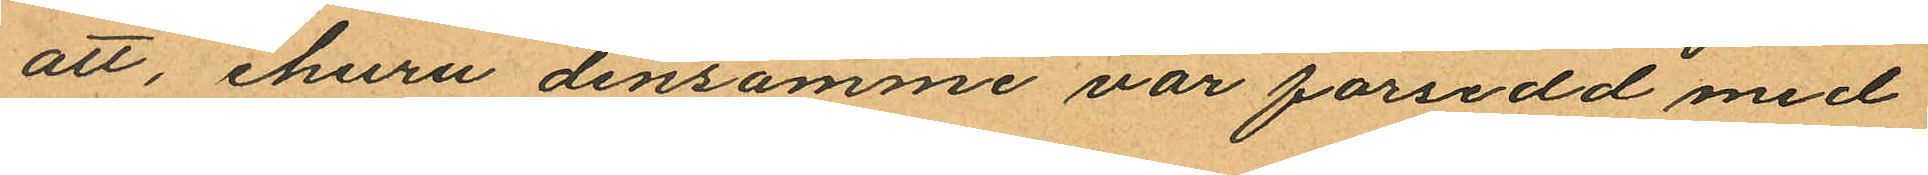att, ehuru densamme var försedd med
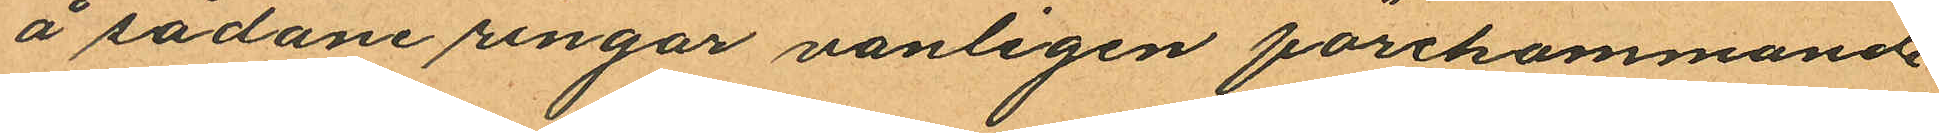å sådane ringar vanligen förekommande
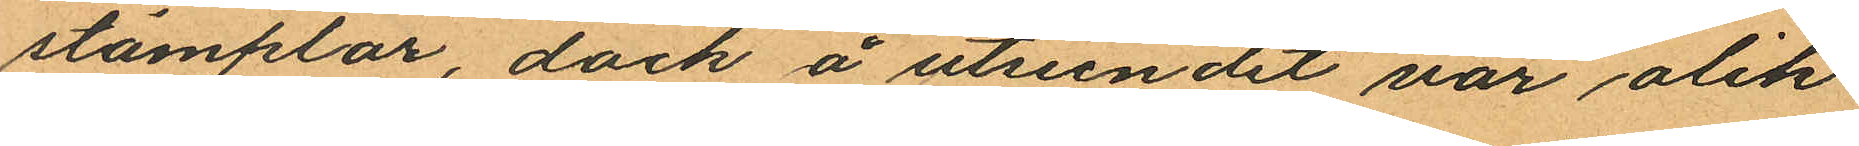stämplar, dock å utseendet var olik
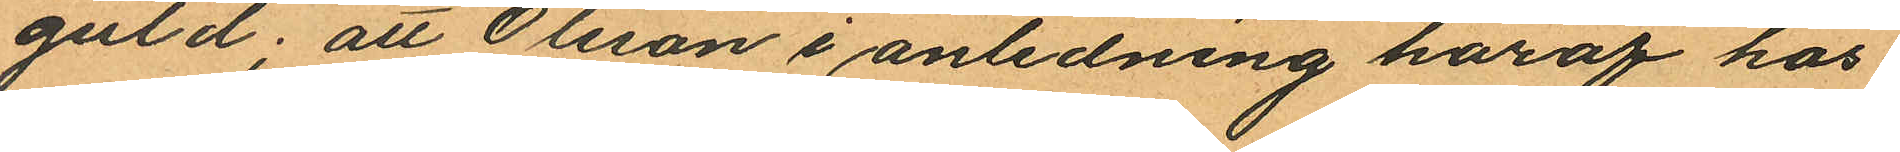guld; att Olsson i anledning häraf hos
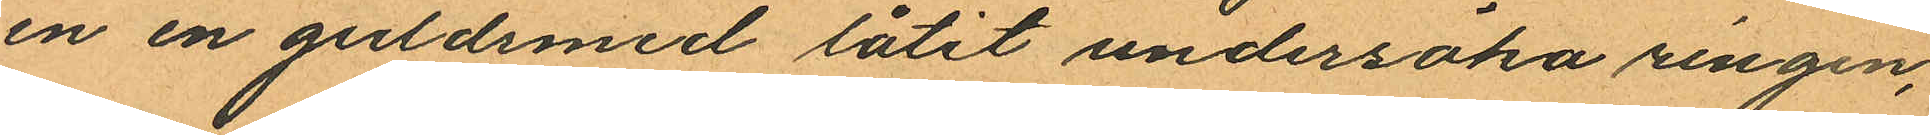en en guldsmed låtit undersöka ringen,
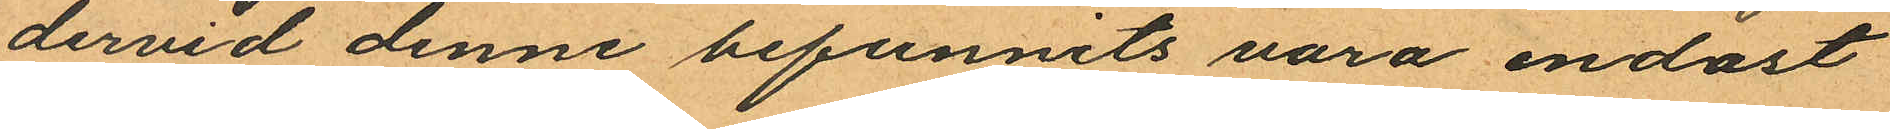dervid denne befunnits vara endast
